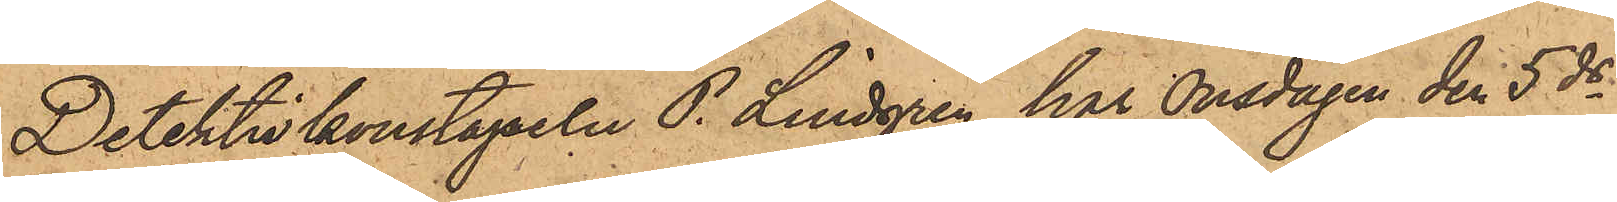Detektivkonstapeln P. Lindgren har Onsdagen den 5 ds
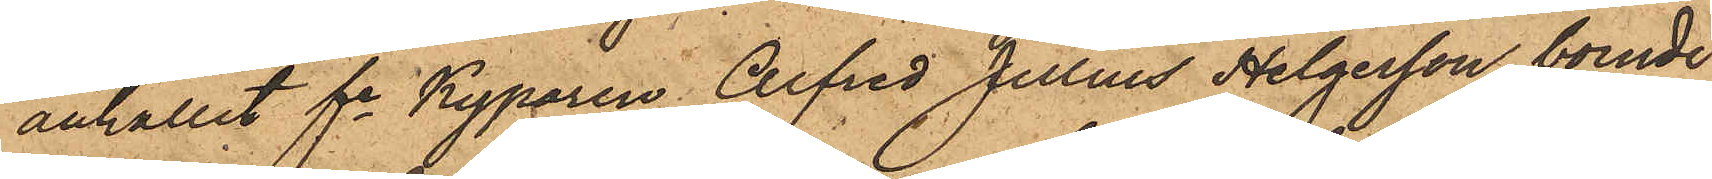anhållit fe Kyparen Alfred Julius Helgesson, boende i
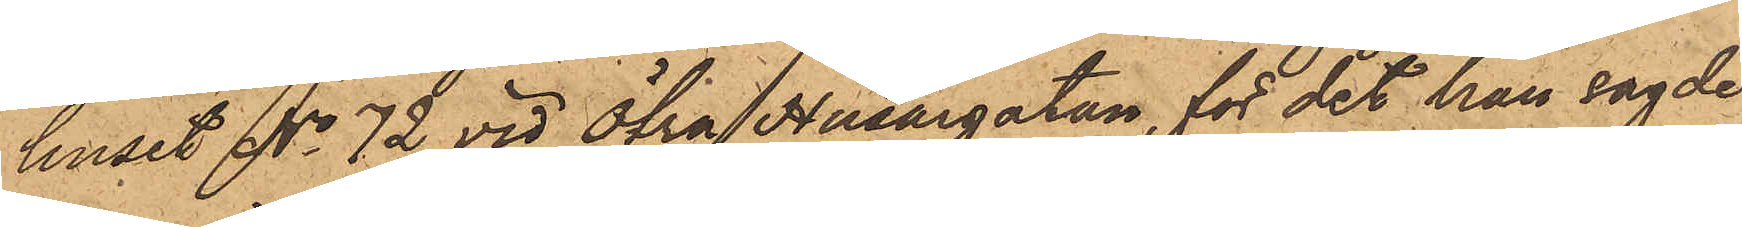huset No 72 vid Öfra Husargatan, för det han sagde
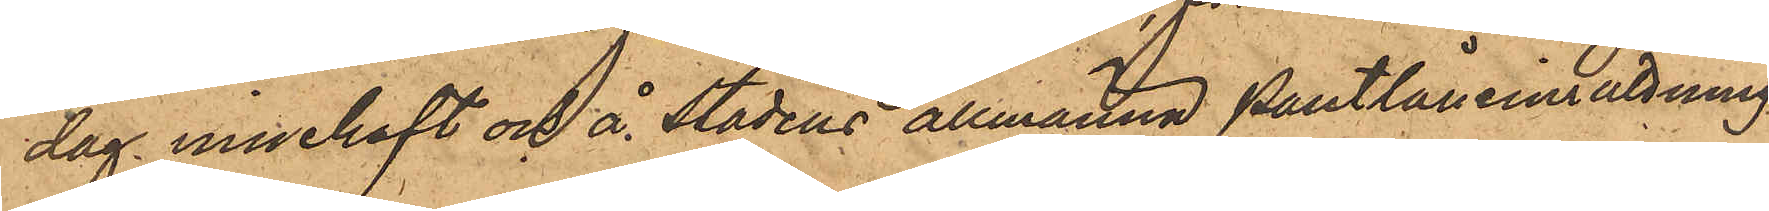dag innehaft och å Stadens allmänna Pantlåneinrättning
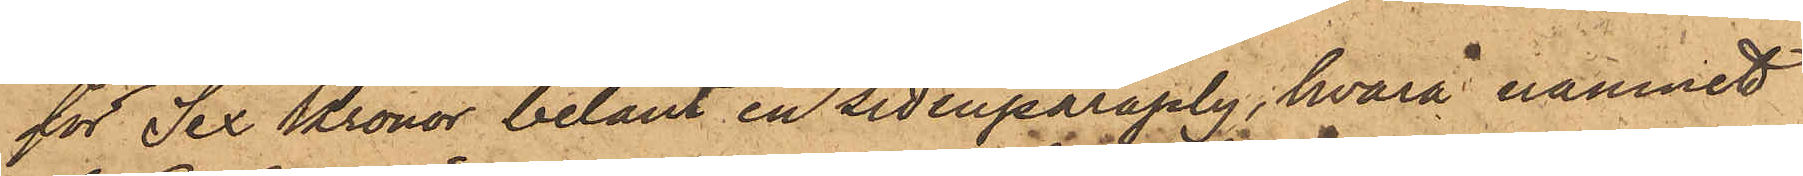för Sex Kronor belånt en sidenparaply, hvarå namnet
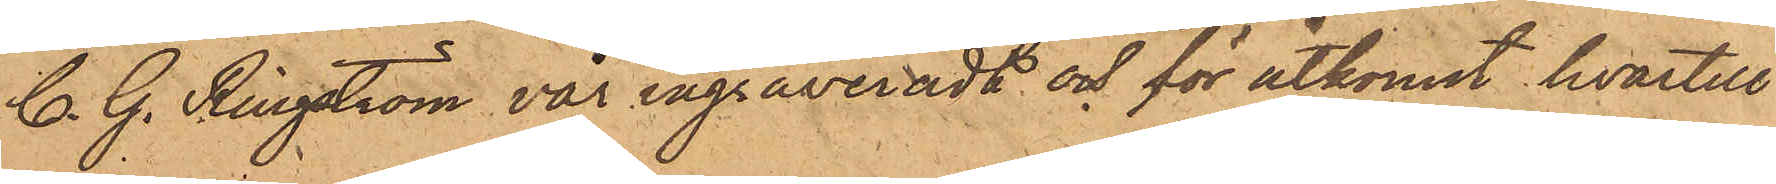C. G. Ringström var ingraveradt och för åtkomst hvartill
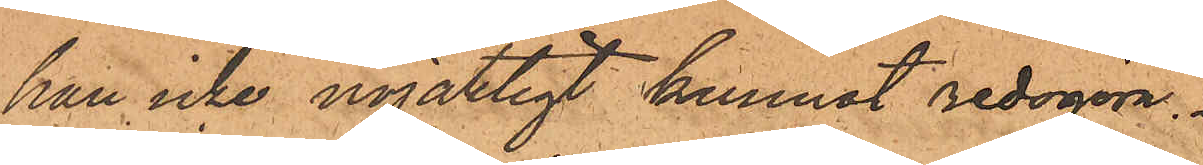han icke nöjaktigt kunnat redogöra.
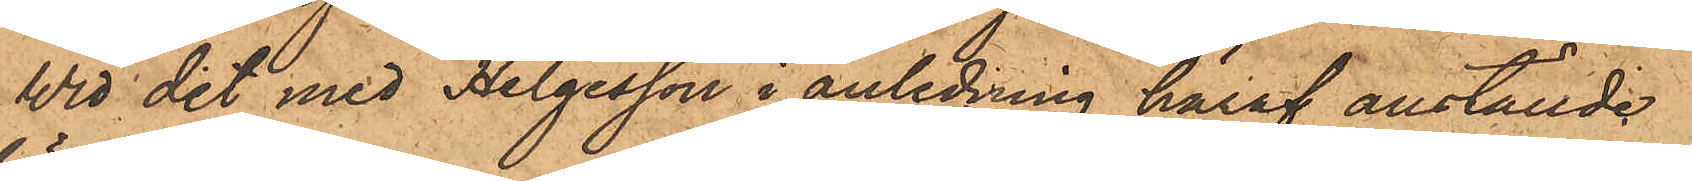Wid det med Helgesson i anledning häraf anställde
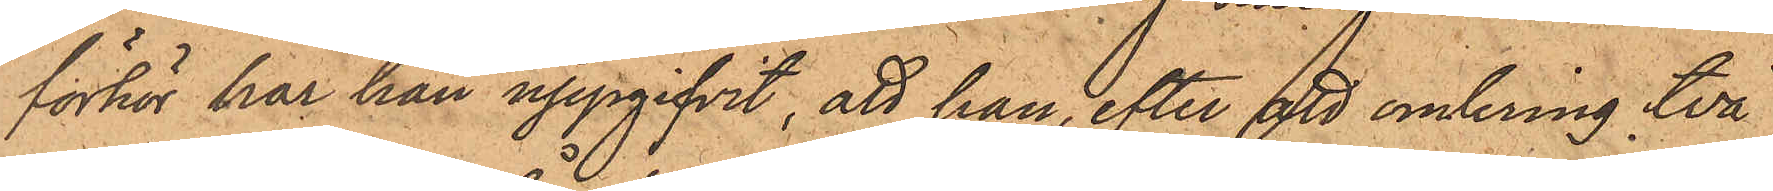förhör har han uppgifvit, att han efter att omkring två
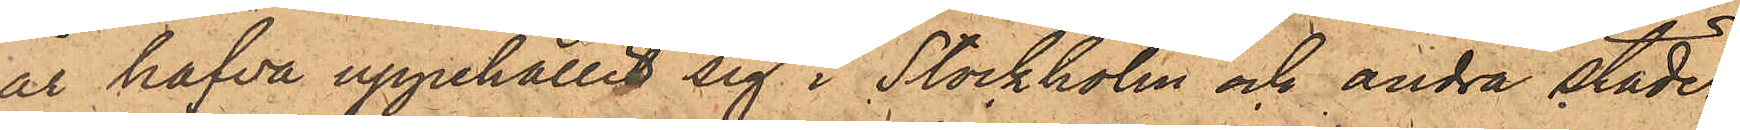år hafva uppehållit sig i Stockholm och andra städer,
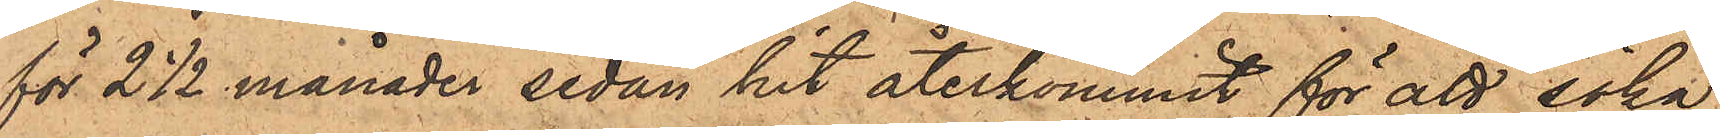för 2 1/2 månader sedan hit återkommit för att söka
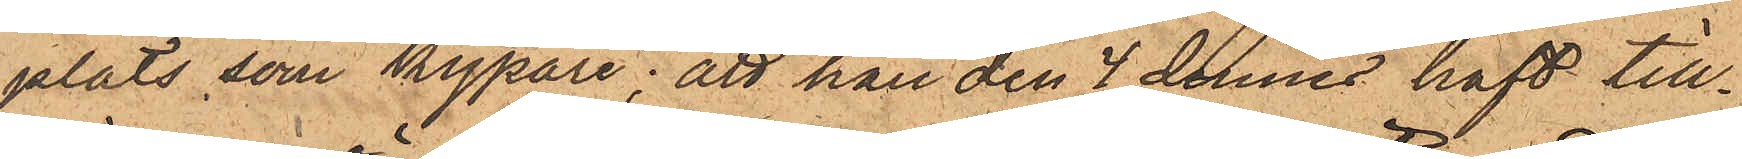plats som kypare; att han den 4 dennes haft till¬
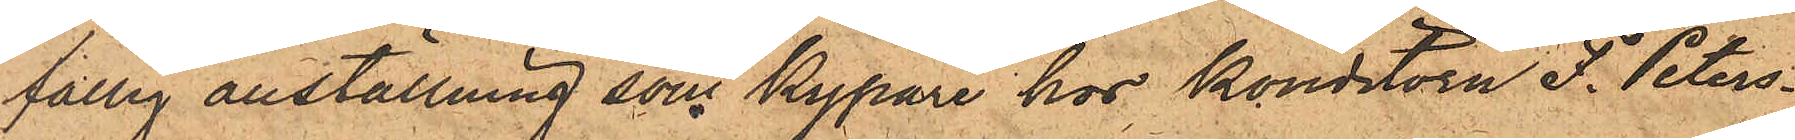fällig anställning som Kypare hos konditorn F. Peters¬
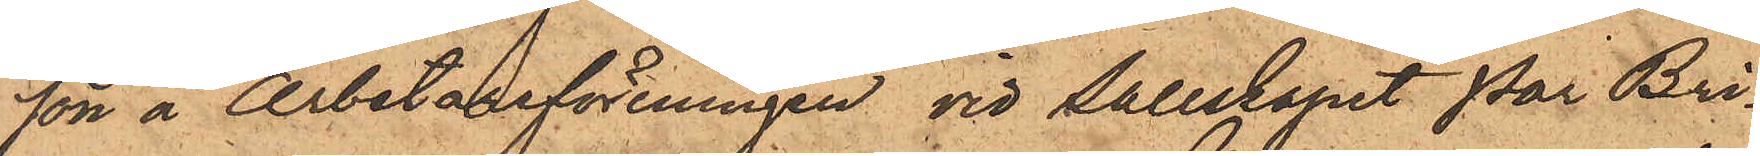son å Arbetareföreningen vid Sallskapet Par Bri¬
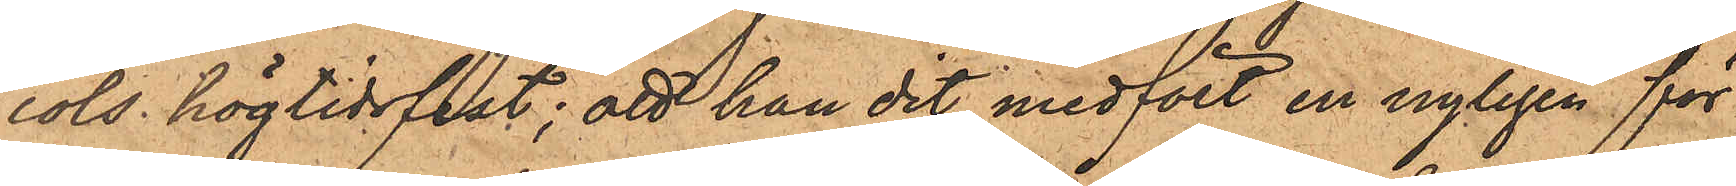cols högtidsfest; att han dit medfört en nyligen för
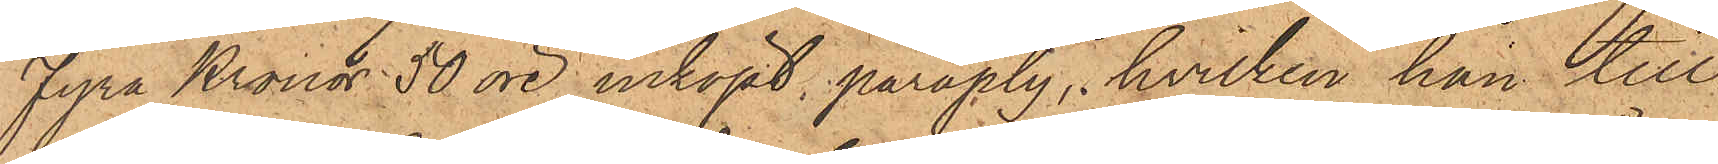Fyra Kronor 50 öre inköpt paraply, hvilken han till
